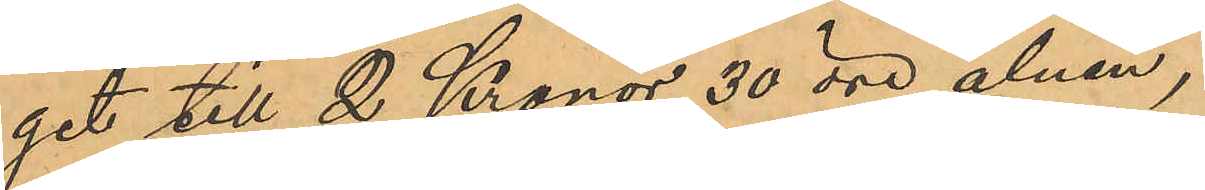get till 2 Kronor 30 öre alnen,
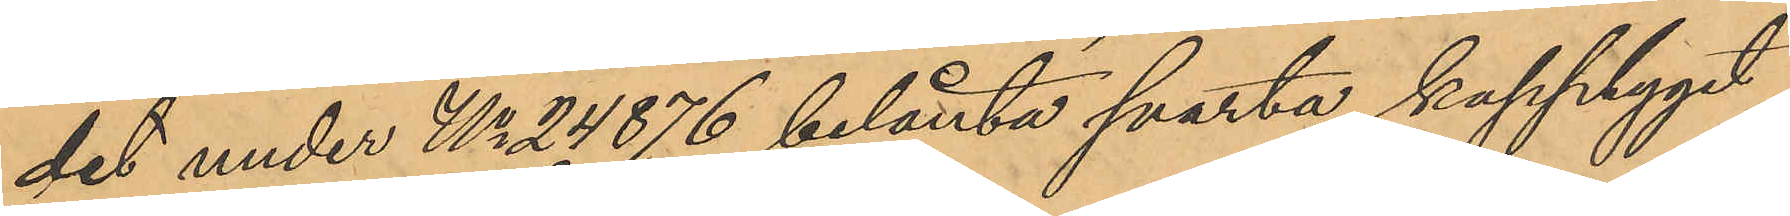det under No 24876 belånta svarta kapptyget
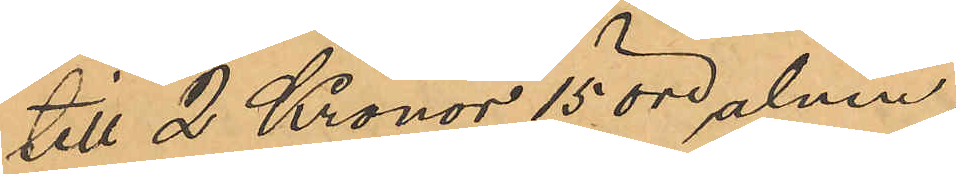till 2 Kronor 15 öre alnen,
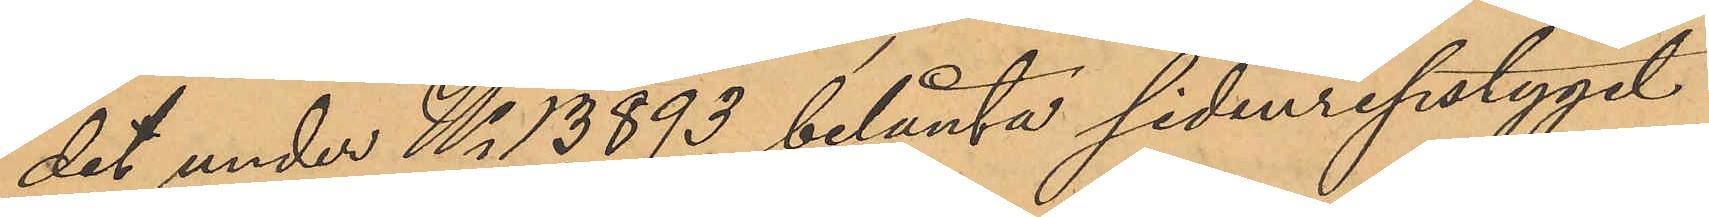det under No 13893 belånta sidenripstyget
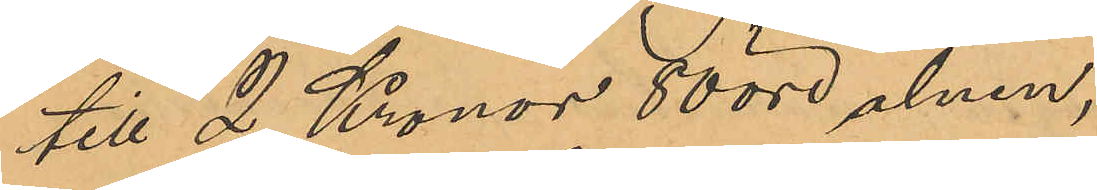till 2 Kronor 80 öre alnen,
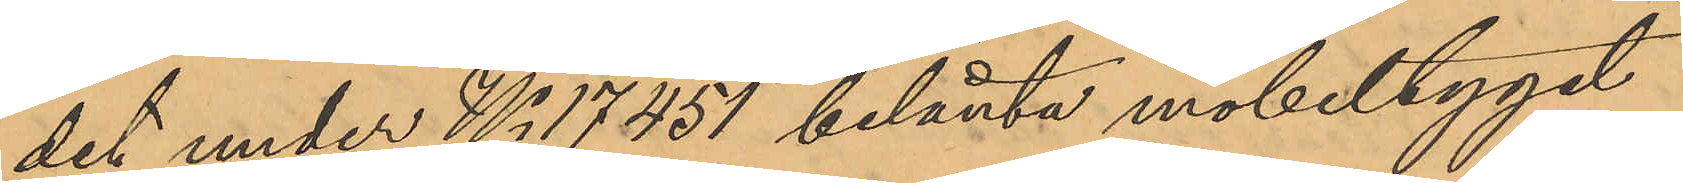det under No 17451 belånta möbettyget
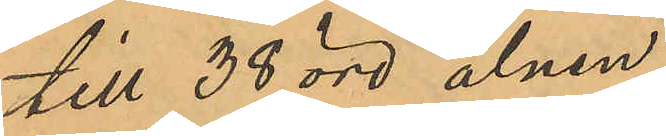till 38 öre alnen,
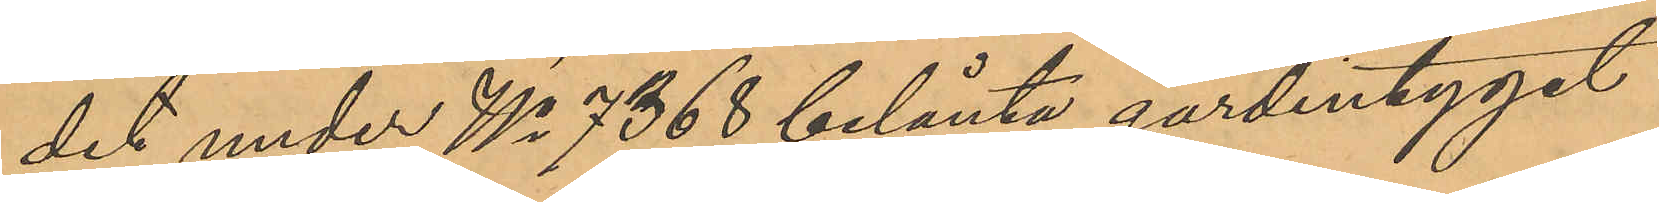det under No 7368 belånta gardintyget
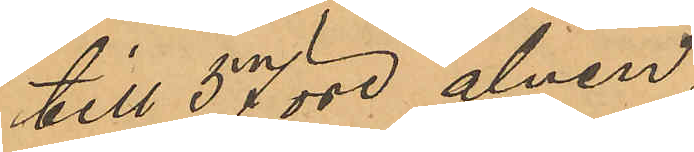till 57 öre alnen,
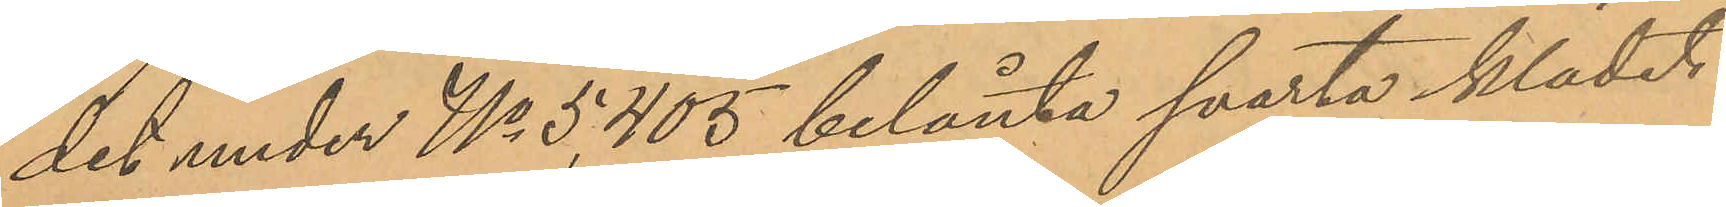det under No 5,405 belånta svarta klädet
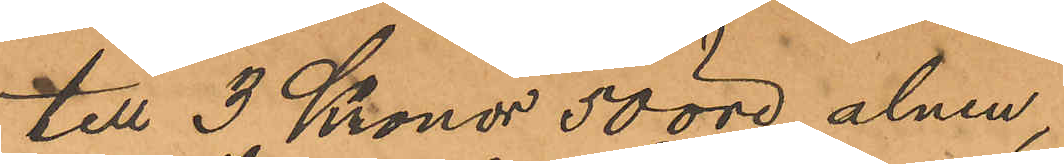till 3 Kronor 50 öre alnen,
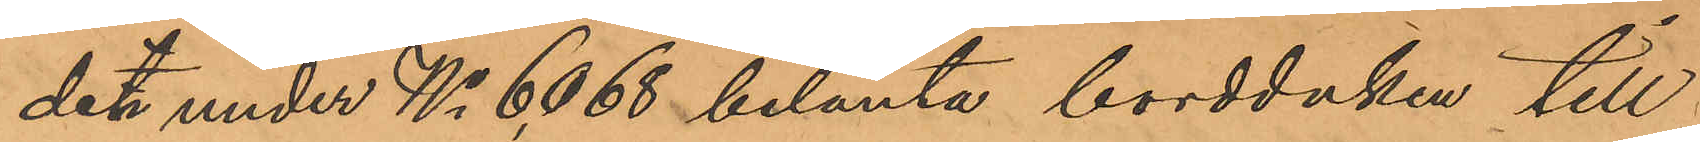det under No 6,068 belånta bordduken till
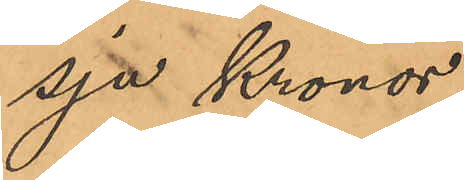sju Kronor,
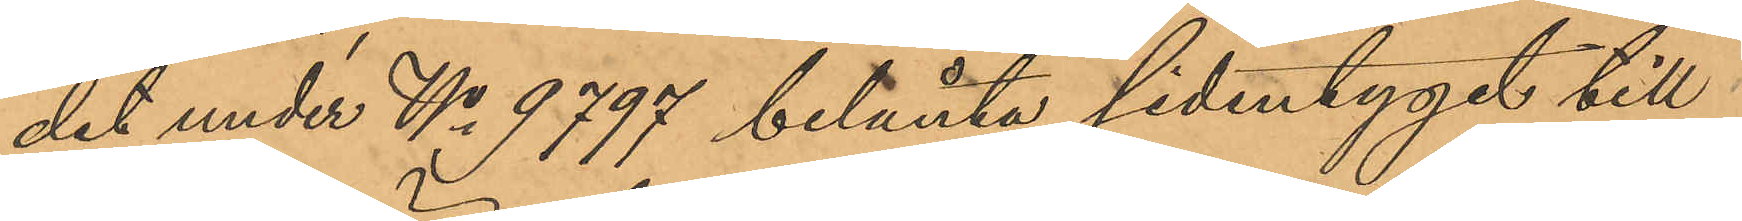det under No 9797 belånta sidentyget till¬
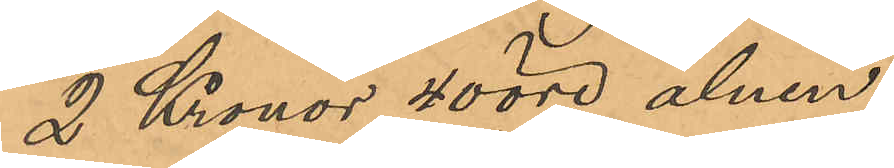2 Kronor 40 öre alnen,
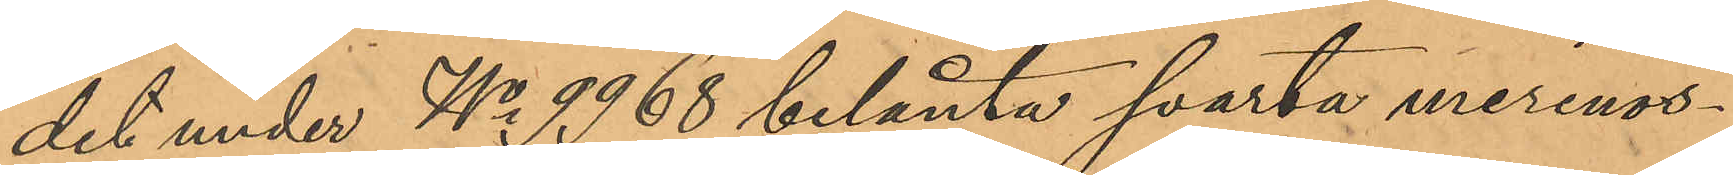det under No 9968 belånta svarta merinos¬
